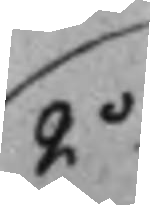2o
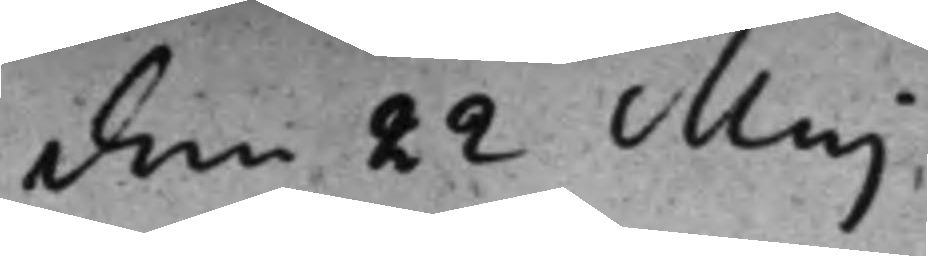den 22 Maj
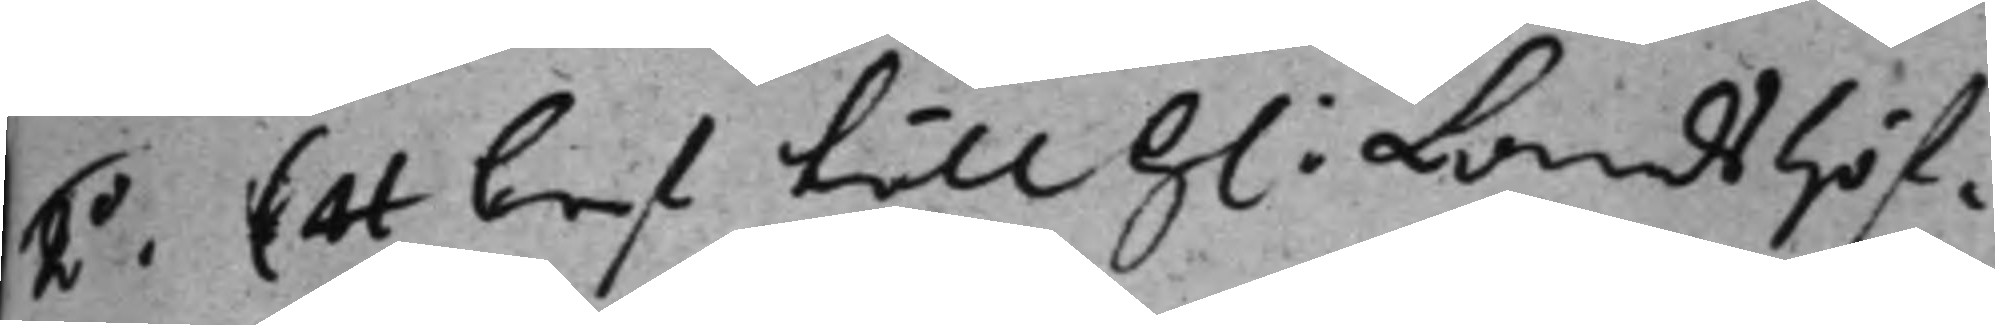2o. Ett bref till h: Landshöf¬
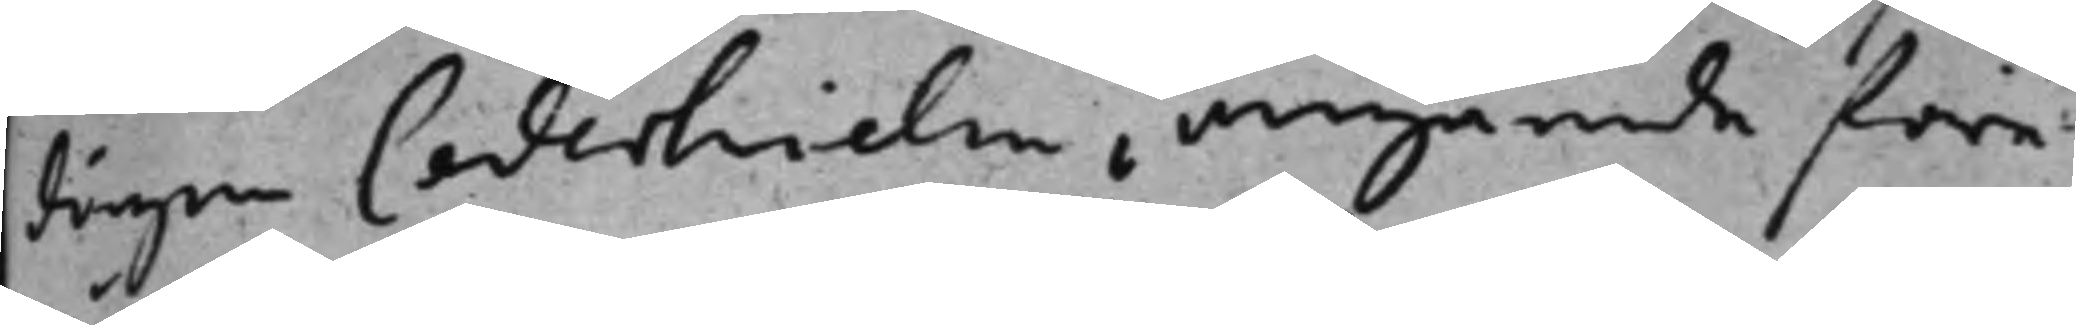dingen Cederhielm, angående före¬
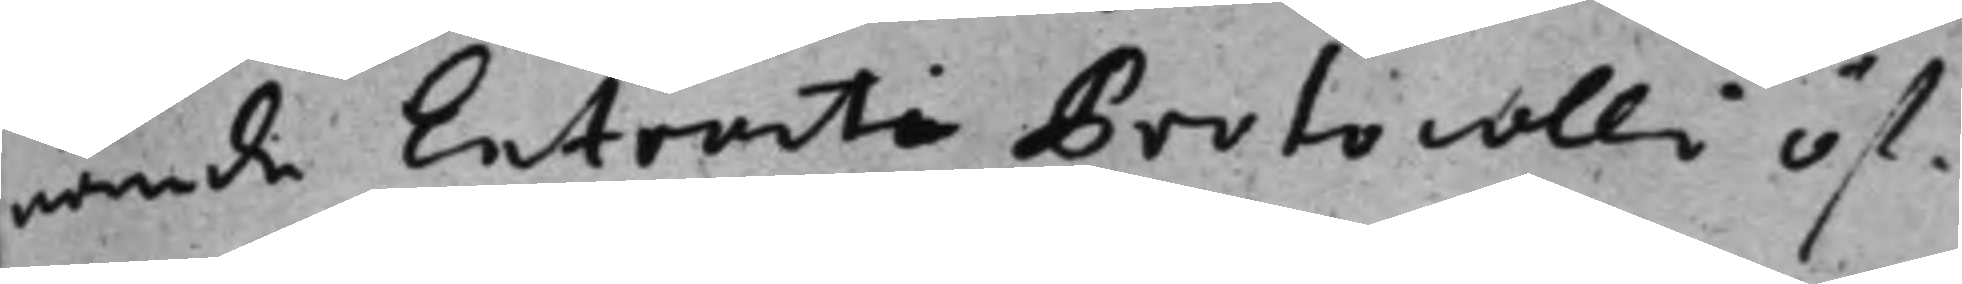nämde Extracti Protocolli öf¬
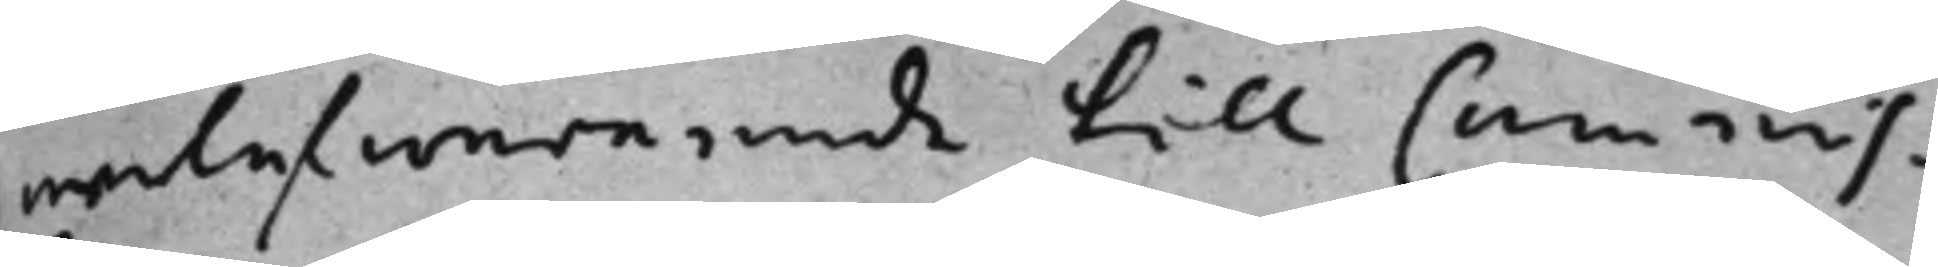werlefwererade till Commis¬
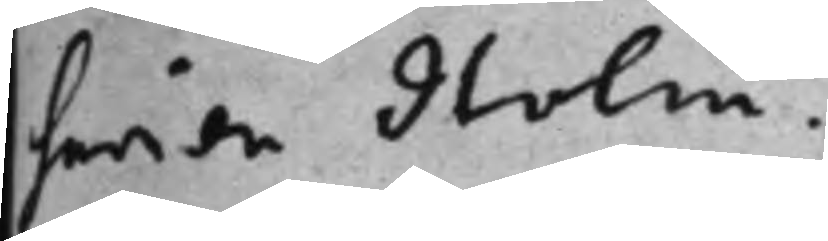sarien Holm.
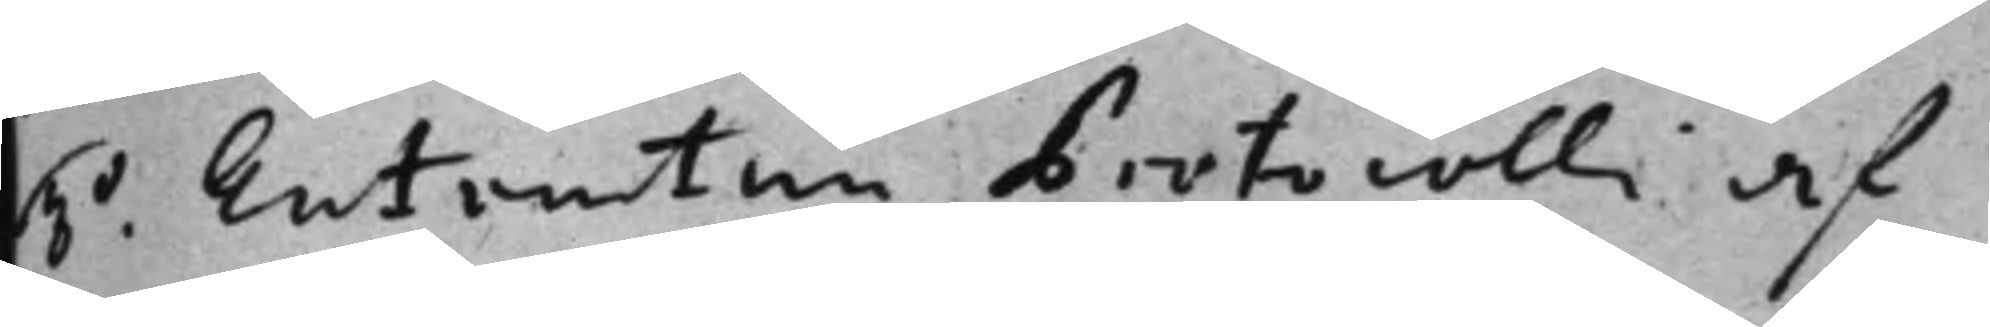3o. Extractum Protocolli af
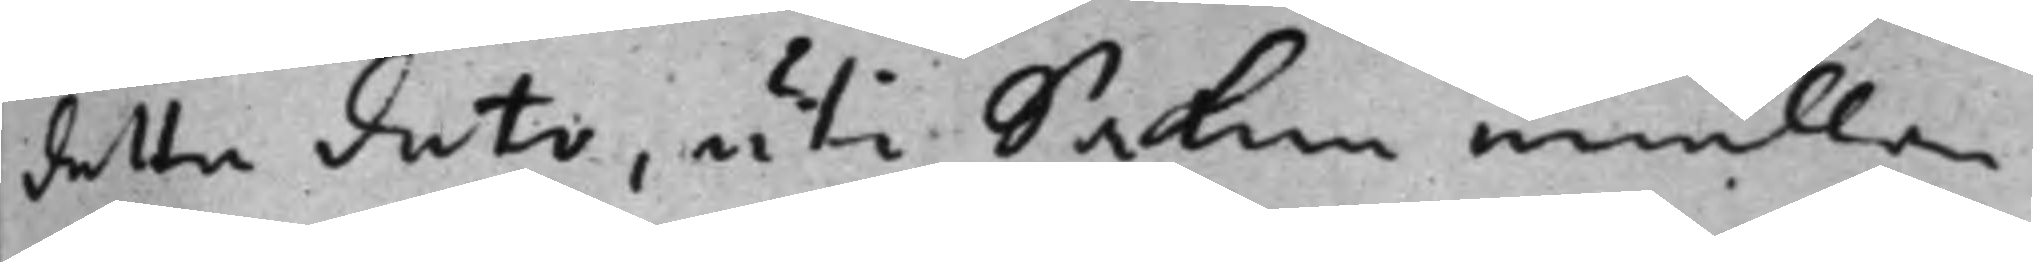detta dato, uti Saken emellan
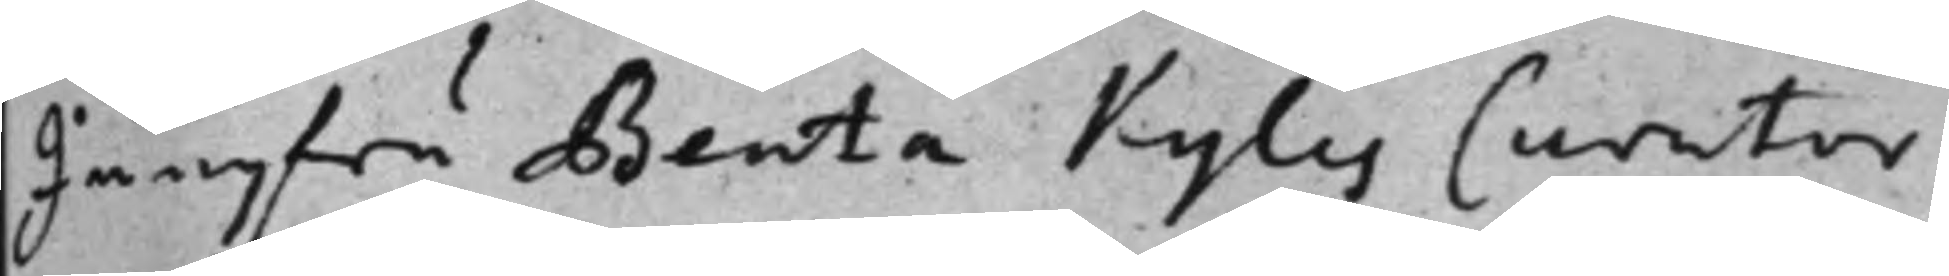Jungfru Beata Kyles Curator
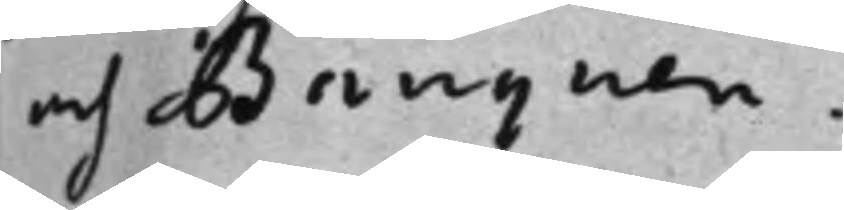och Banquen.
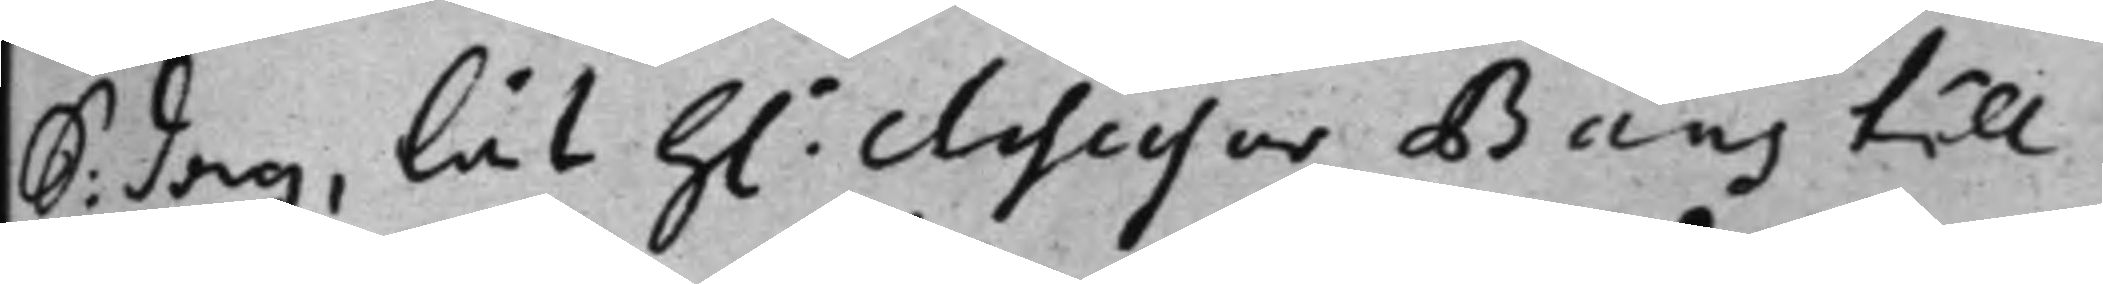S: dag, lät h: Assessor Baas till
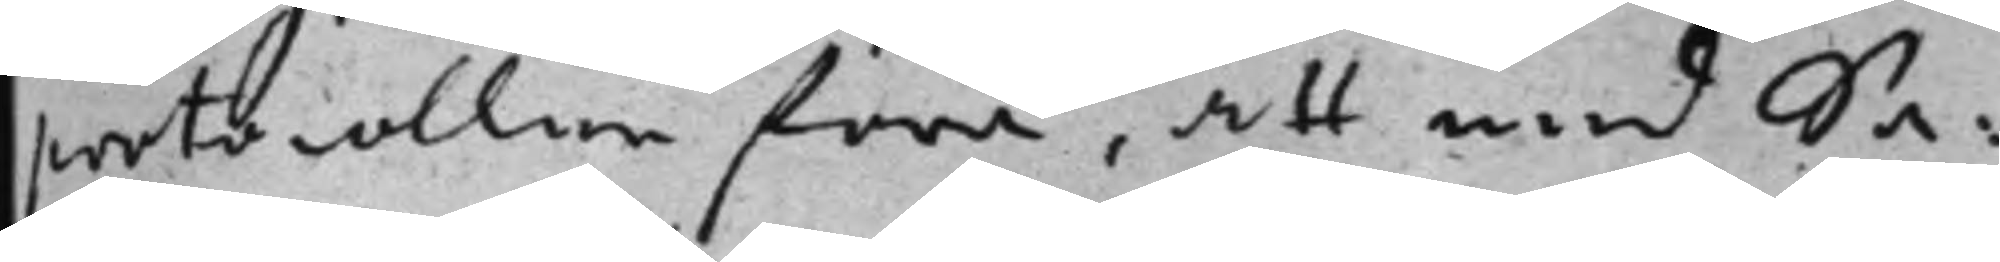protocollen föra, att med Sa¬
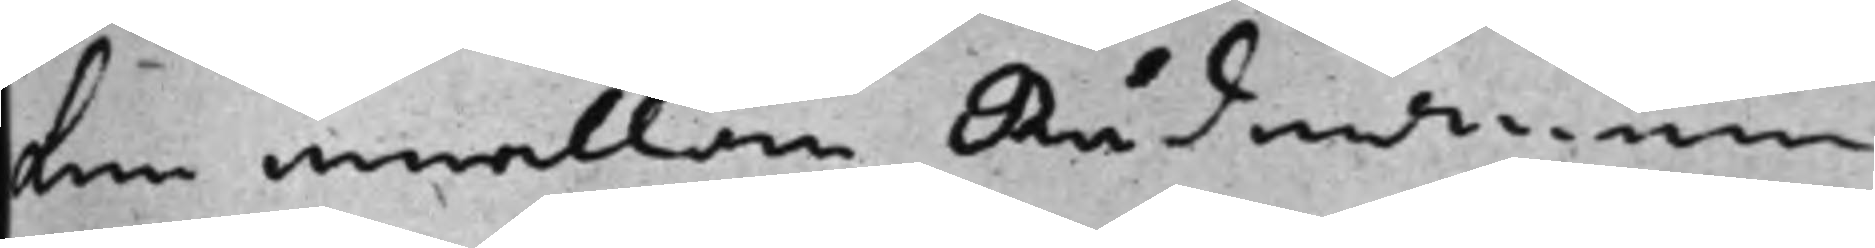ken emellan Rådmannen
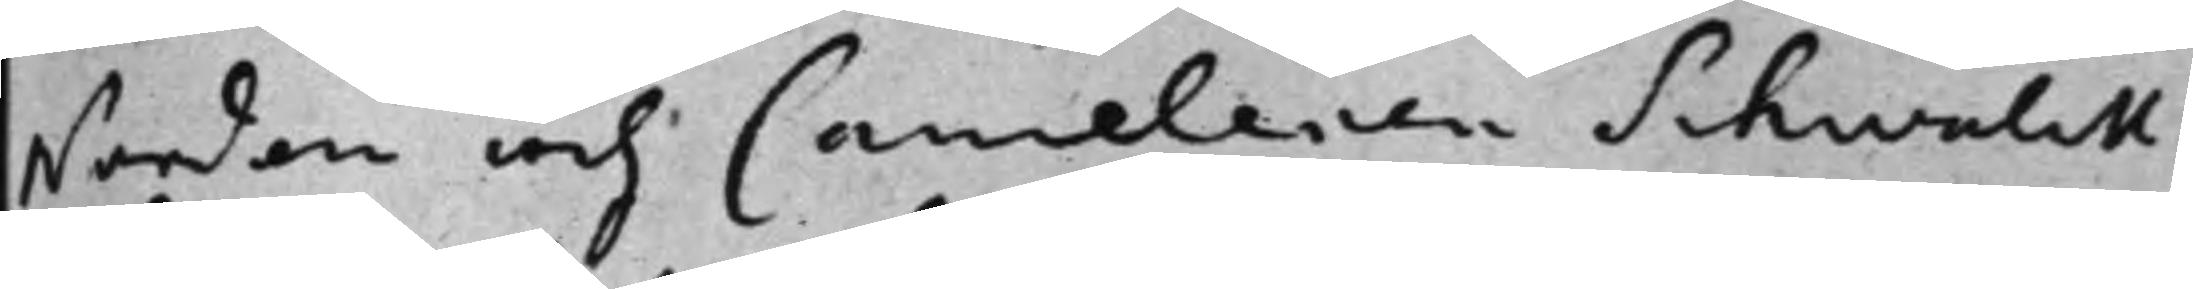Norden och Canceleren Schwalitz
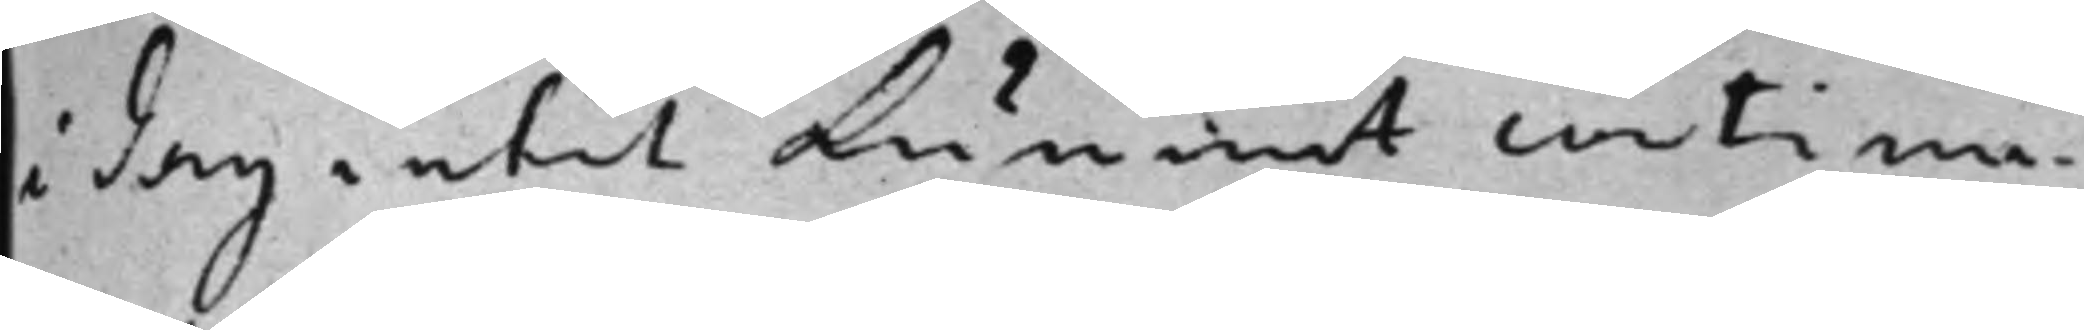i dag intet kunnet continu¬
